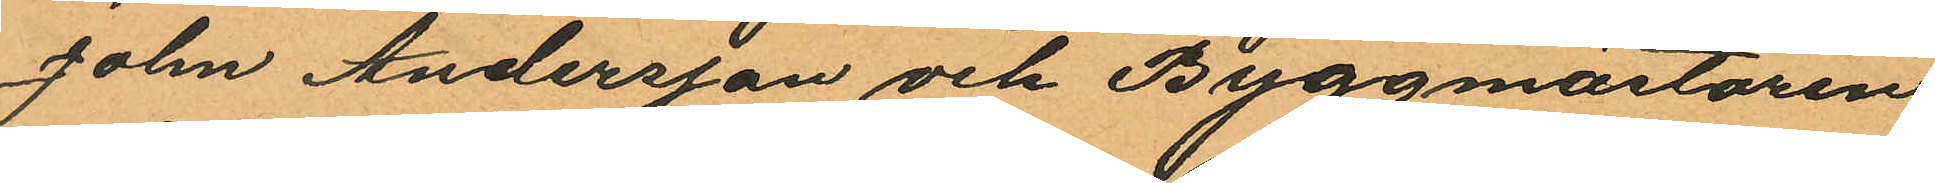John Andersson och Byggmästaren
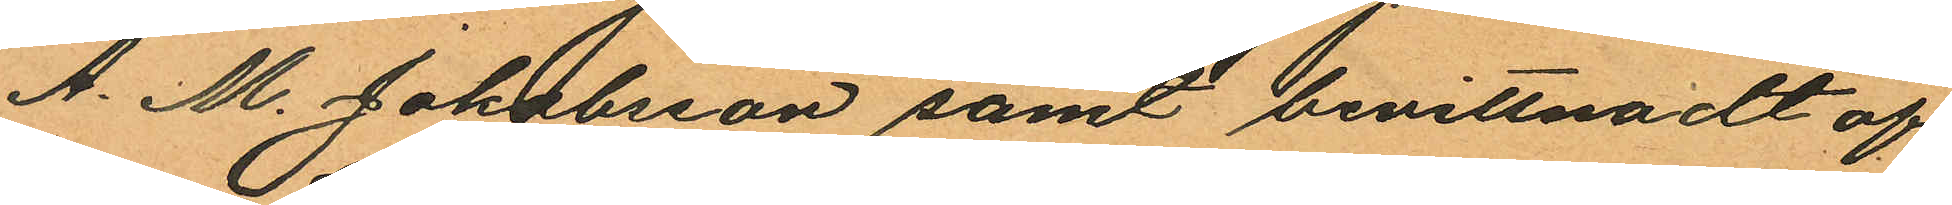A. M. Jakobsson samt bevittnadt af
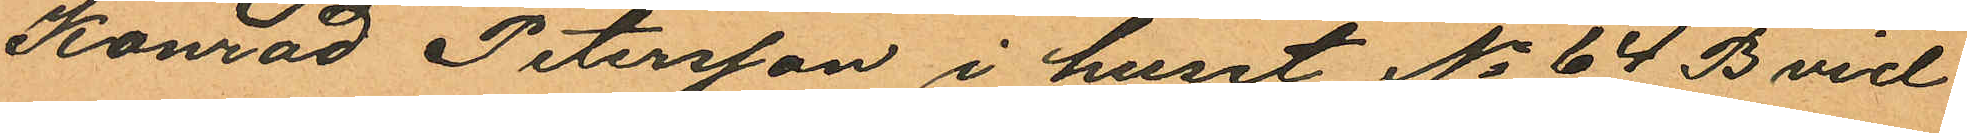Konrad Petersson i huset No 64 B vid
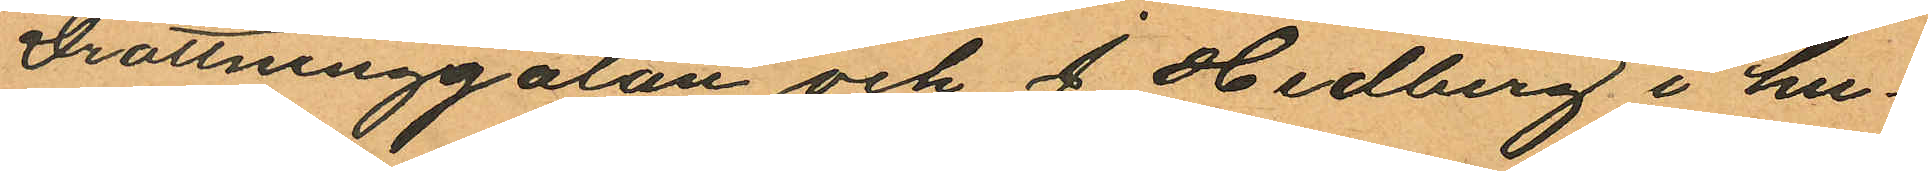Drottninggatan och J. Hedberg i hu¬
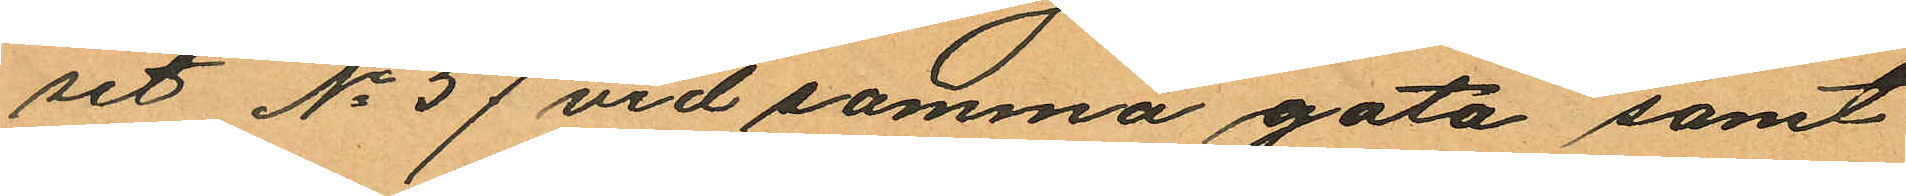set No 57 vid samma gata samt
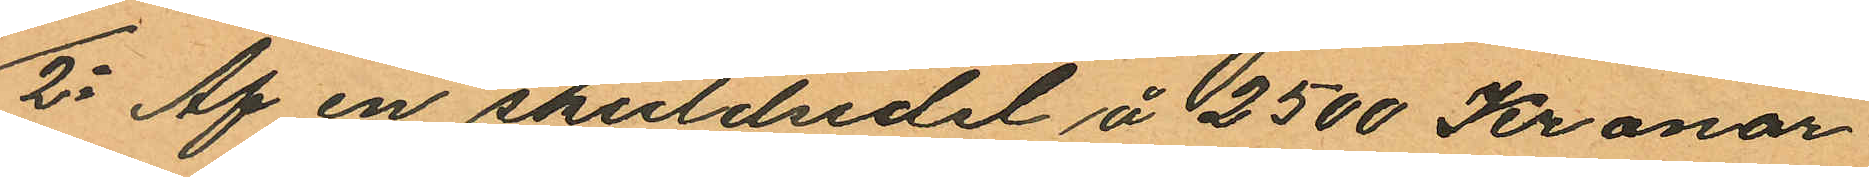2o Af en skuldsdel å 2500 Kronor
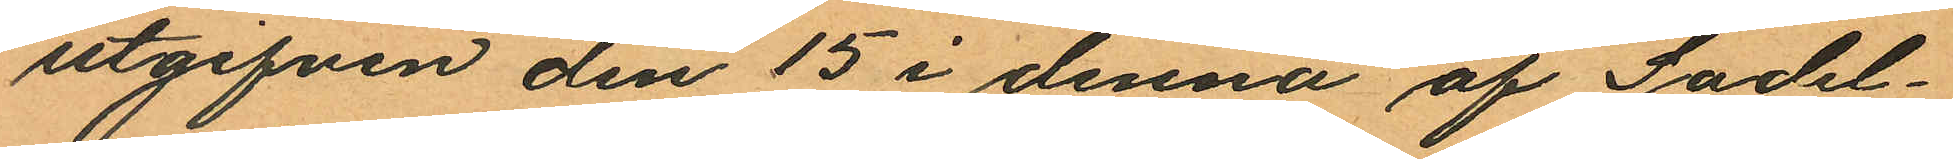utgifven den 15 i denna af Sadel¬
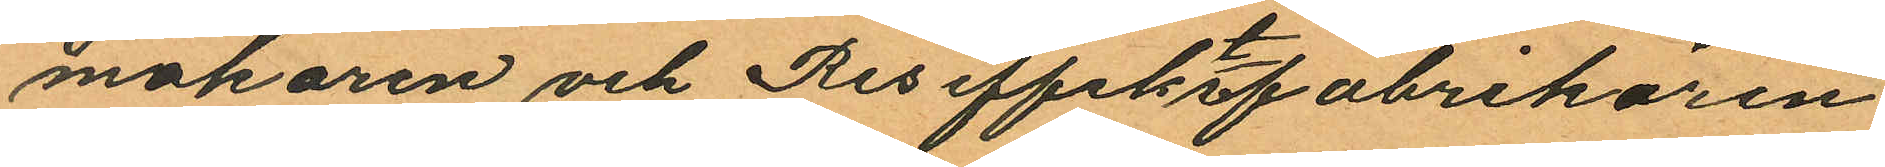makaren och Reseffektsfabrikören
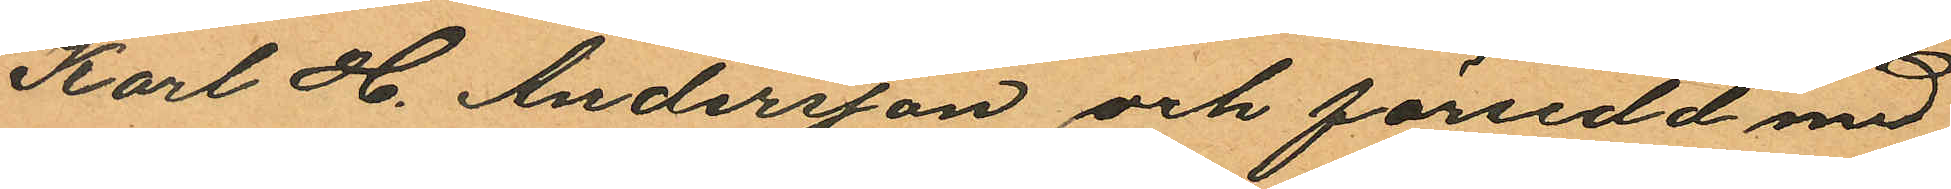Karl H. Andersson och försedd med
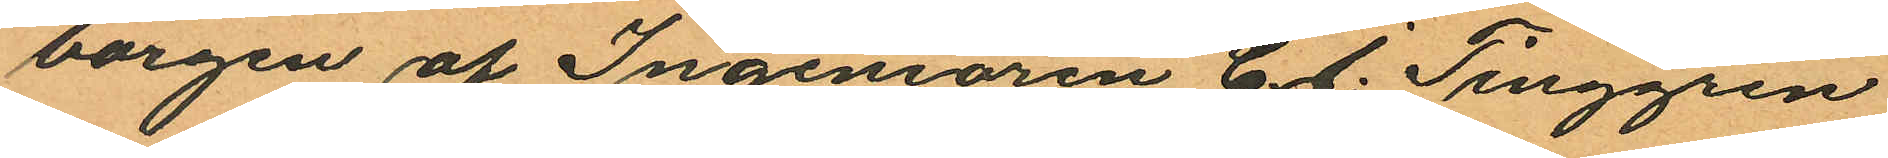borgen af Ingeniören C. J. Tinggren
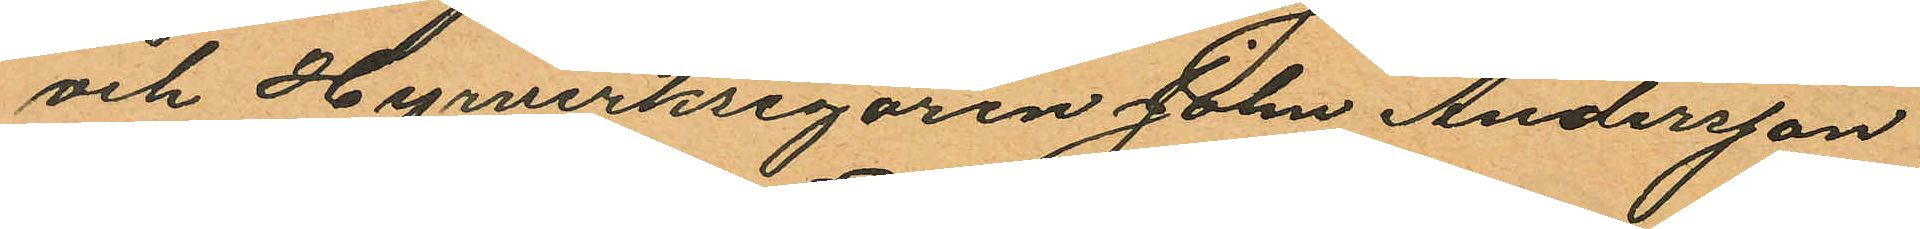och Hyrverksegaren John Andersson
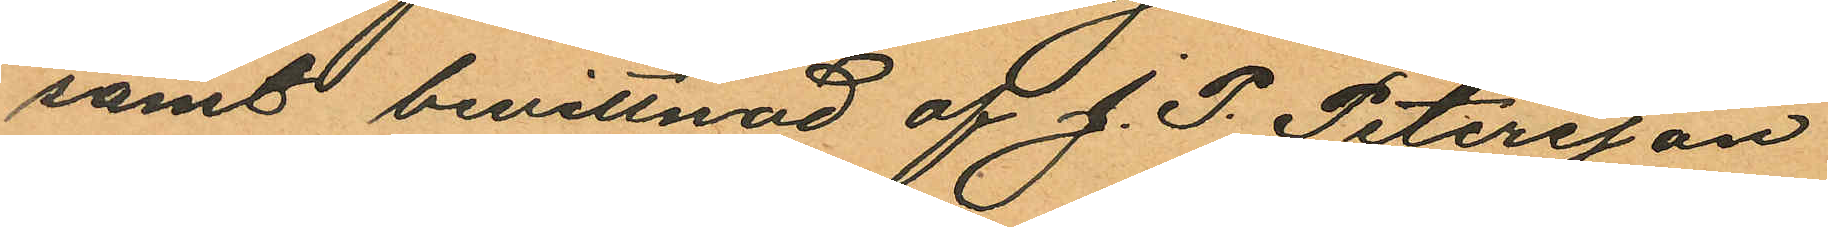samt bevittnad af J. P. Petersson
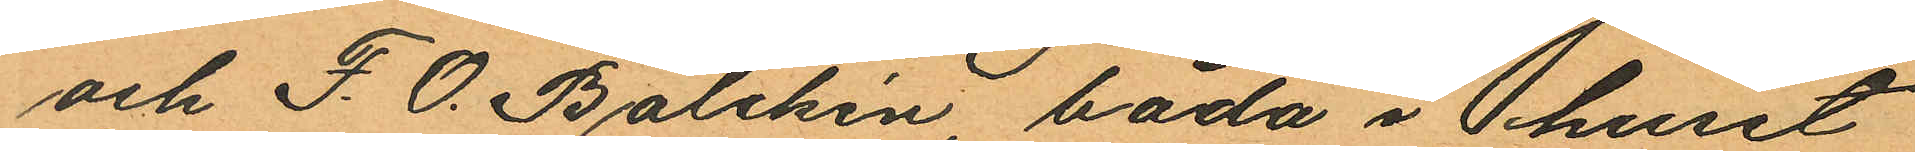och F. O. Balchén båda i huset
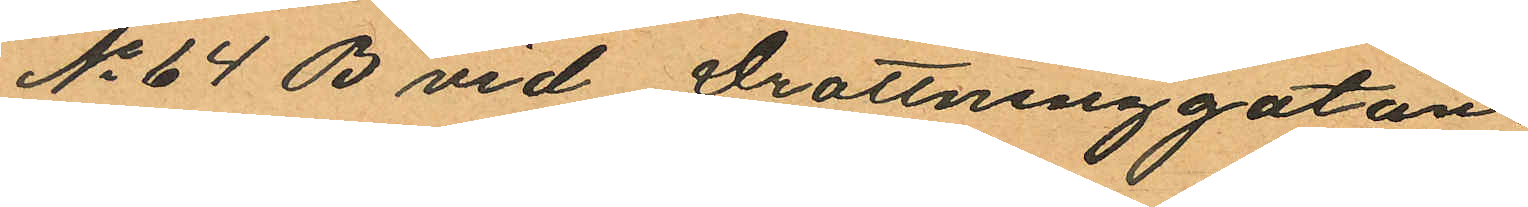No 64 B vid Drottninggatan.
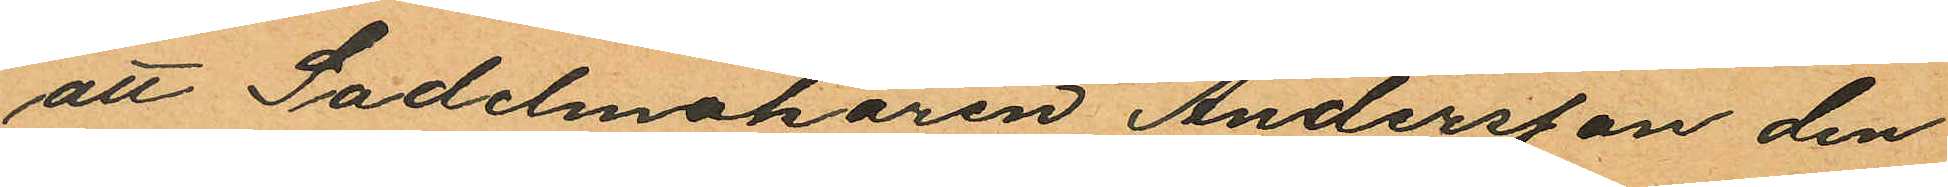att Sadelmakaren Andersson den
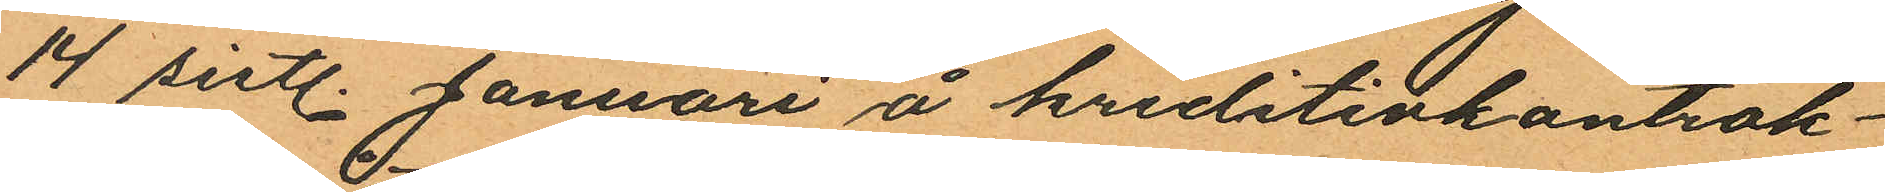14 sistl. Januari å kreditivkontrak¬
